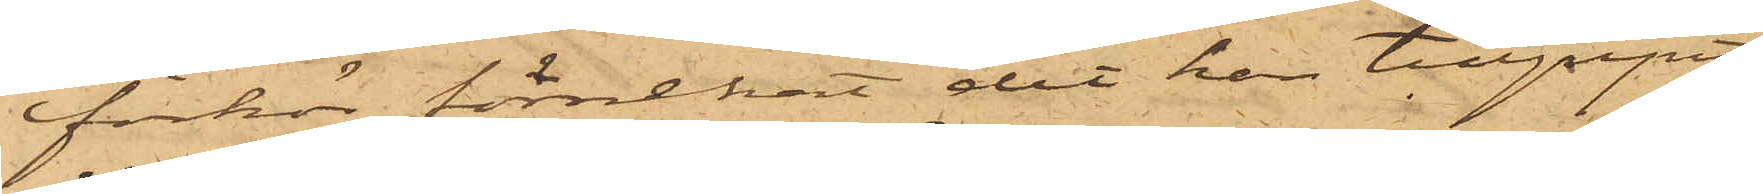förhör förnekat det han tillgripit
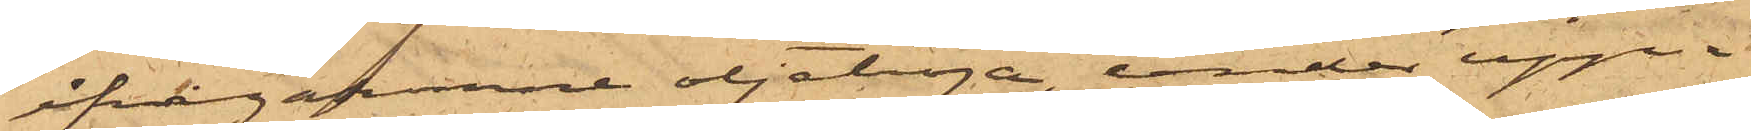ifrågakomne sjötröja, under upp¬
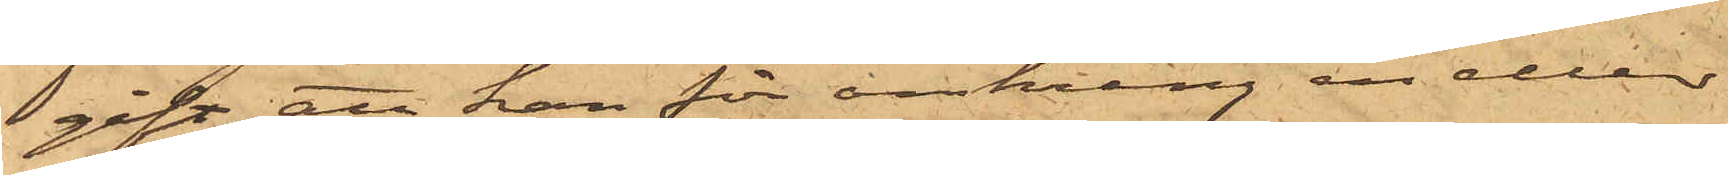gift att han för omkring en eller
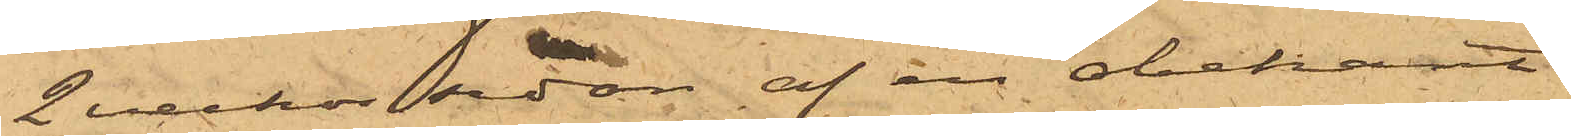2 veckor sedan af en obekant
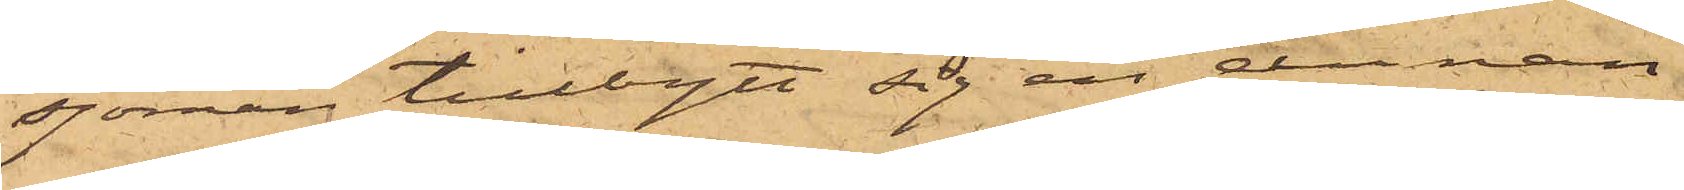sjöman tillbytt sig en annan
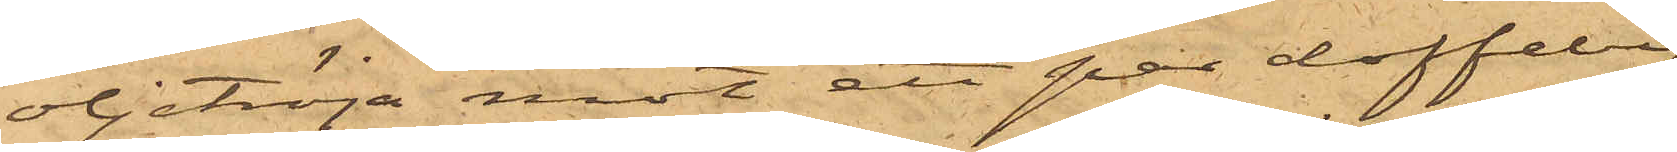oljetröja mot ett par doffelby¬
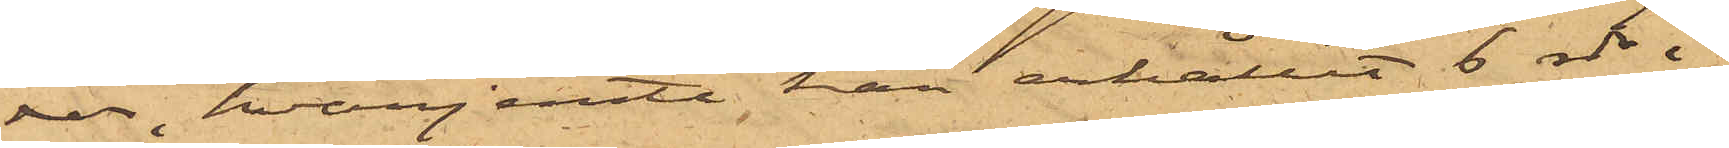xor, hvarjemte han erhållit 6 rdr i
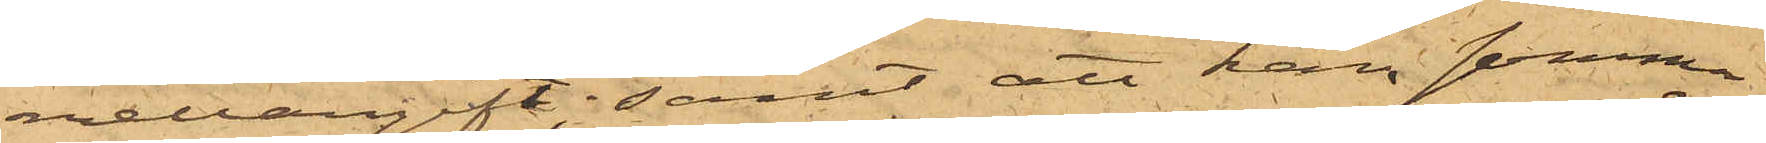mellangift; samt att han samma
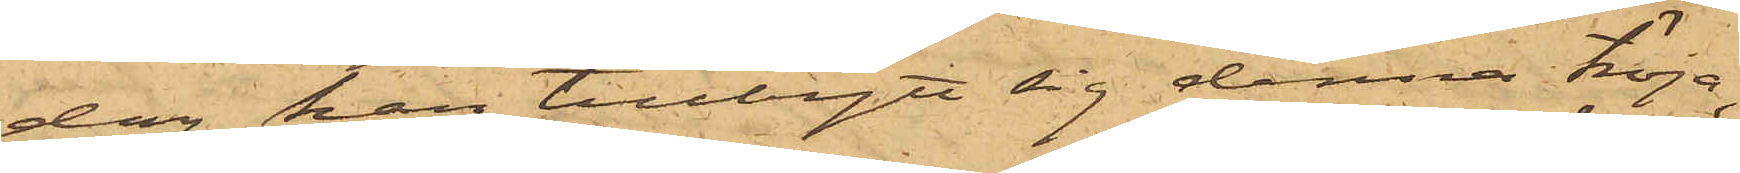dag han tillbytt sig denna tröja,
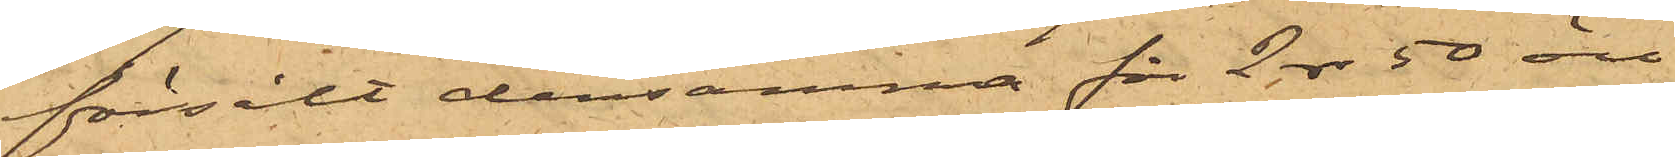försålt densamma för 2 rdr 50 öre
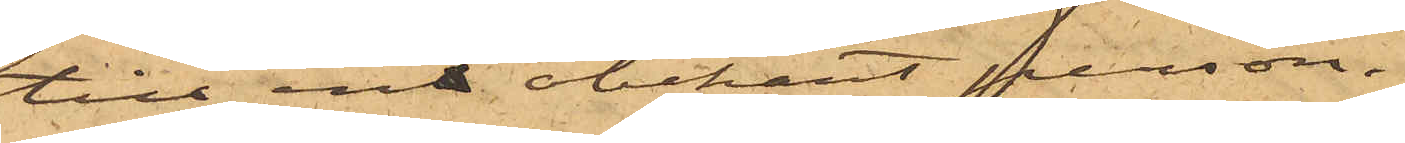till en obekant person.
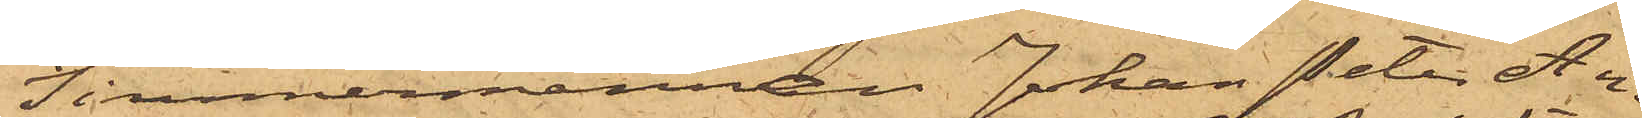Timmermannen Johan Peter An¬
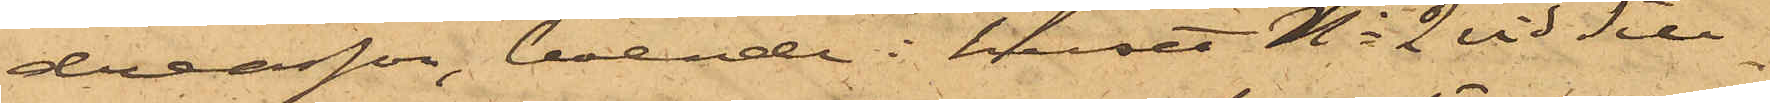dersson, boende i huset No 2 vid Sill¬
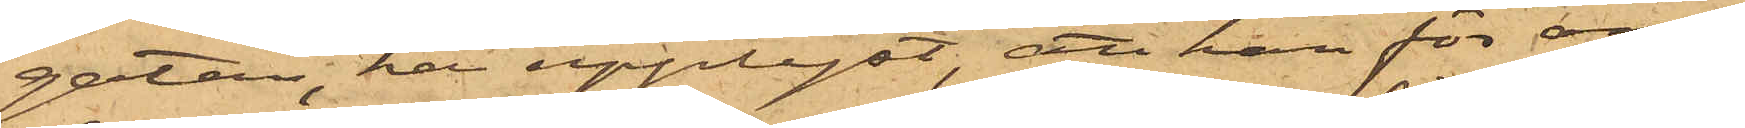gatan, har upplyst, att han för om¬
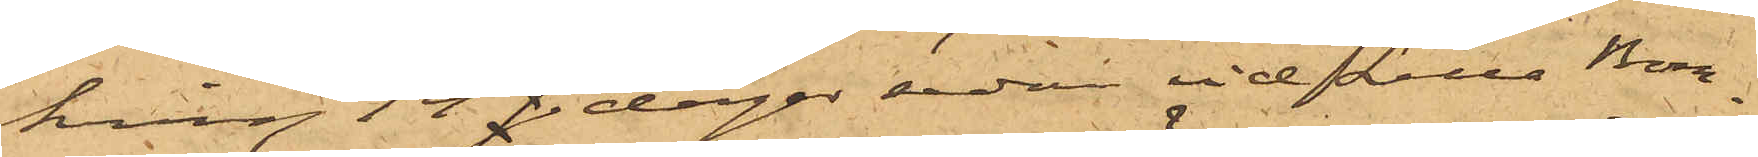kring 14 dagar sedan vid Lilla Bom¬
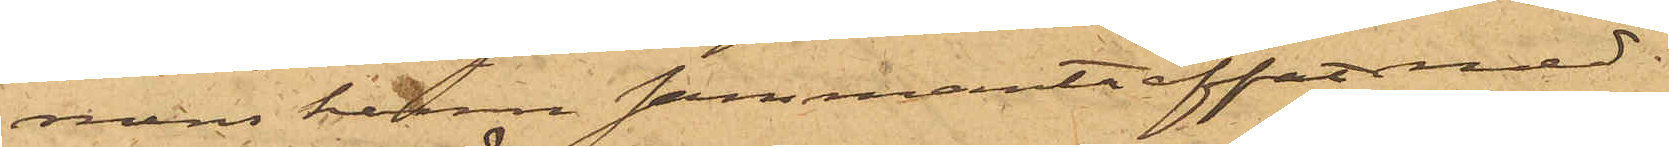mens hamn sammanträffat med
